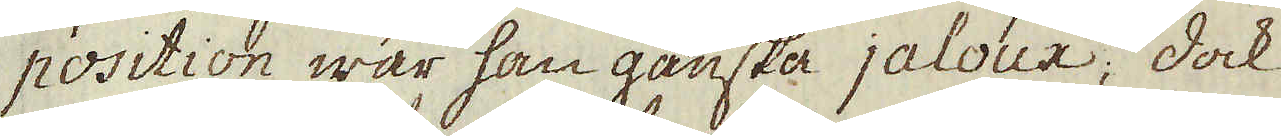position war han ganska jaloux; dock
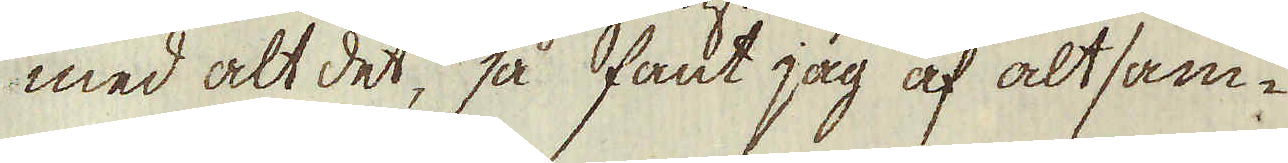med alt det, så fant jag af altsam-
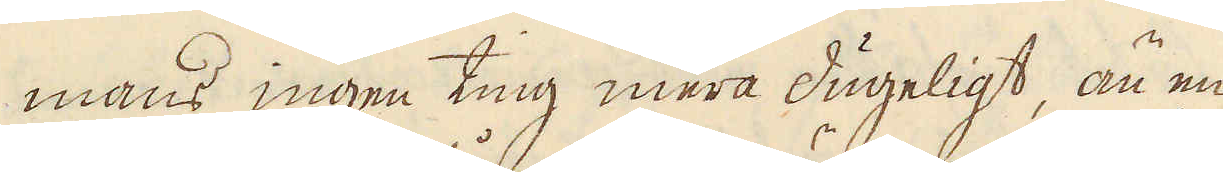mans ingen ting mera dugeligt, än en
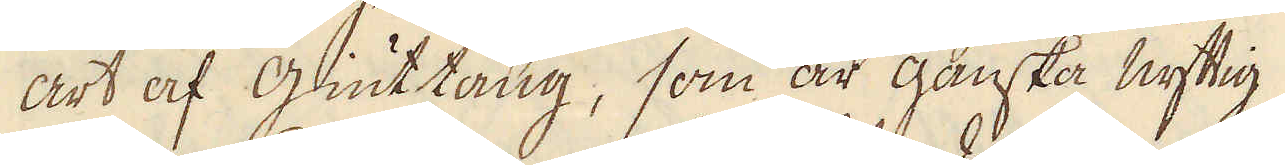art af giutning, som är ganska nyttig
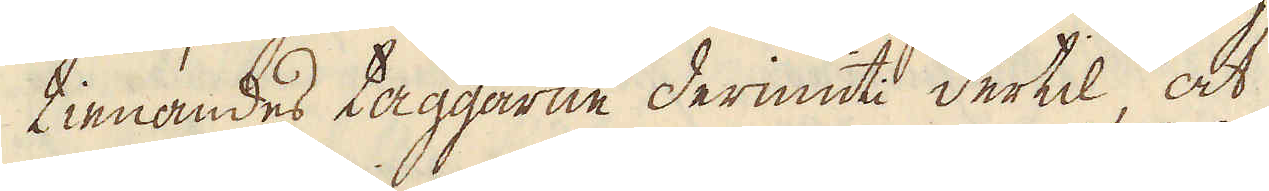tienandes taggarne derinuti dertil, at
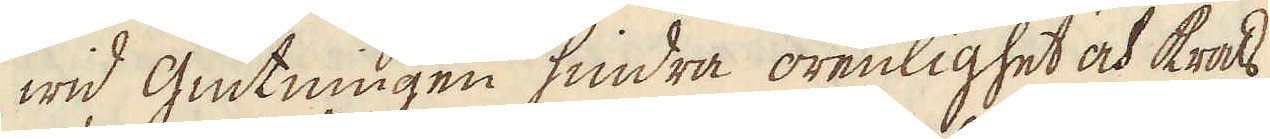wid giutningen hindra orenlighet och krats,
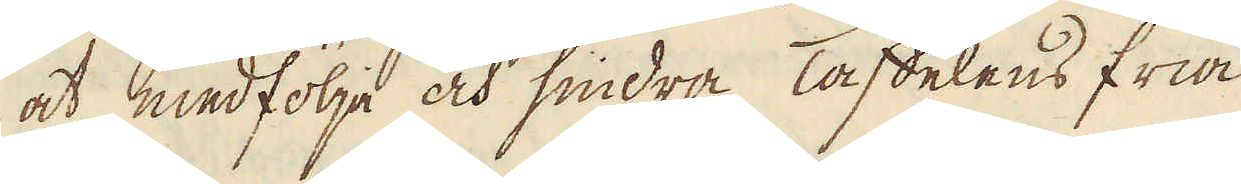at medfölja och hindra Taffelens fria
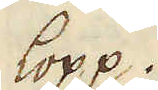lopp.
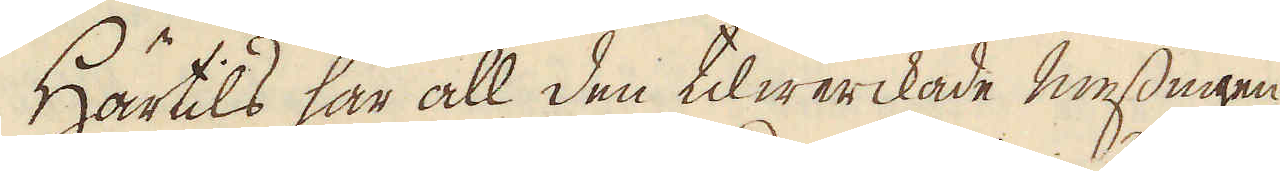Härtils har all den tilwerckade messingen
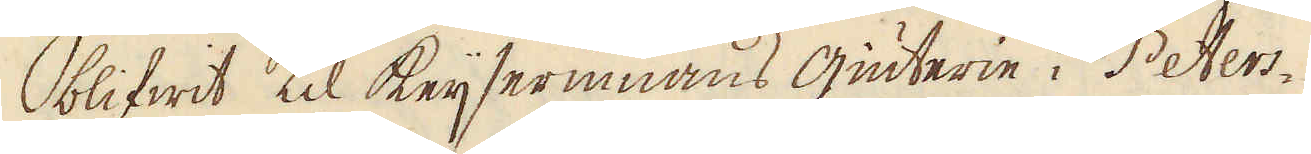blifwit til Keijserinnans giuteri i Peters-
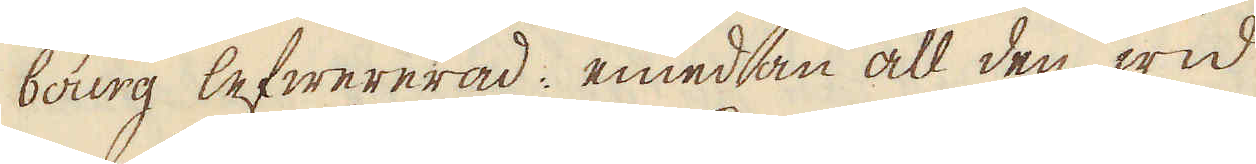bourg lefwererad: emedan all den wid
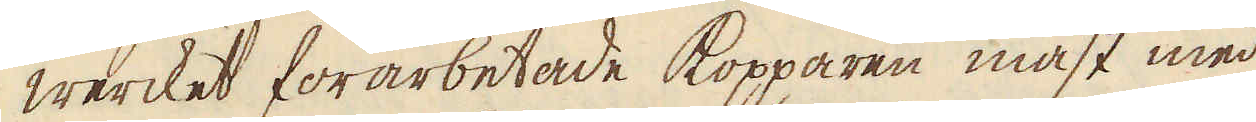wercket förarbetade kopparen måst med
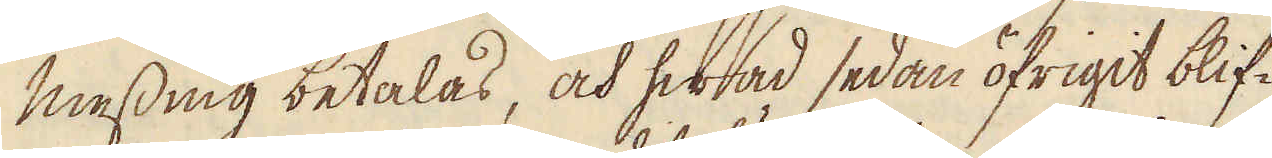messing betalas, och hwad sedan öfrigit blif-
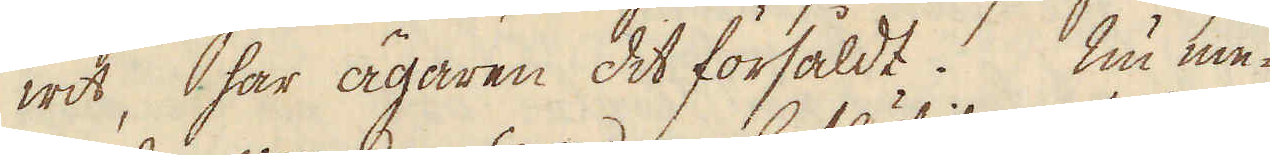wit, har ägaren det försåldt. Nu me-
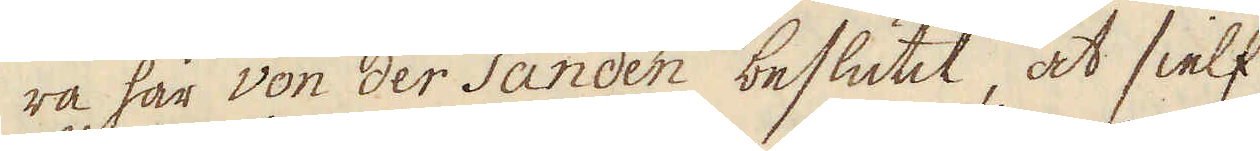ra han von der Sanden beslutit, at sielf
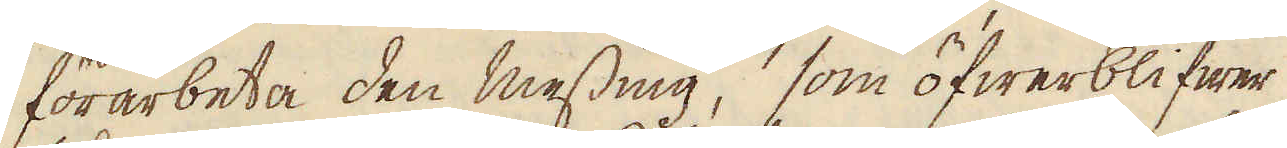förarbeta den messing, som öfwerblifwer
